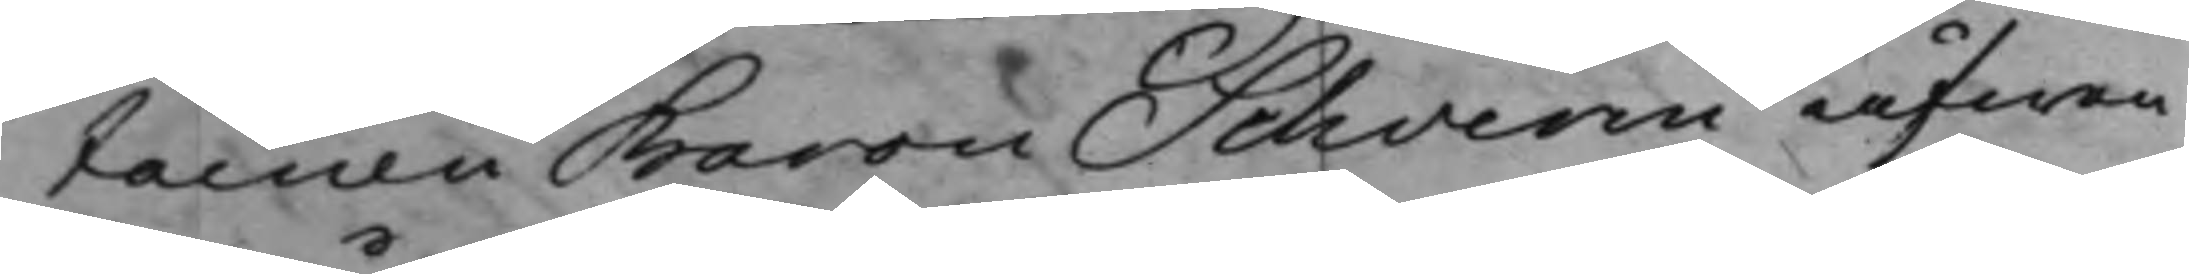tainen Baron Schverin äfwen
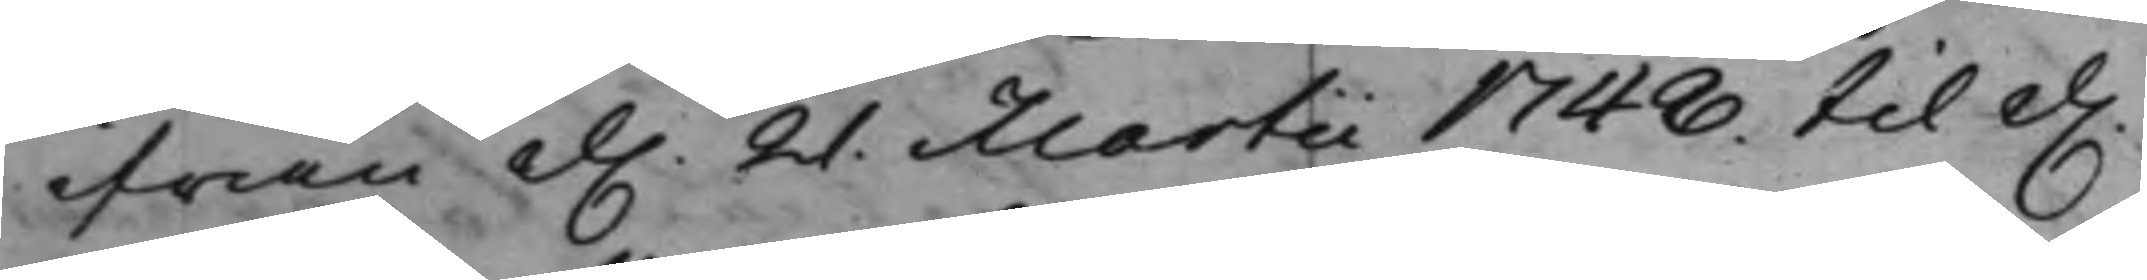ifrån d. 21. Martii 1748. til d.
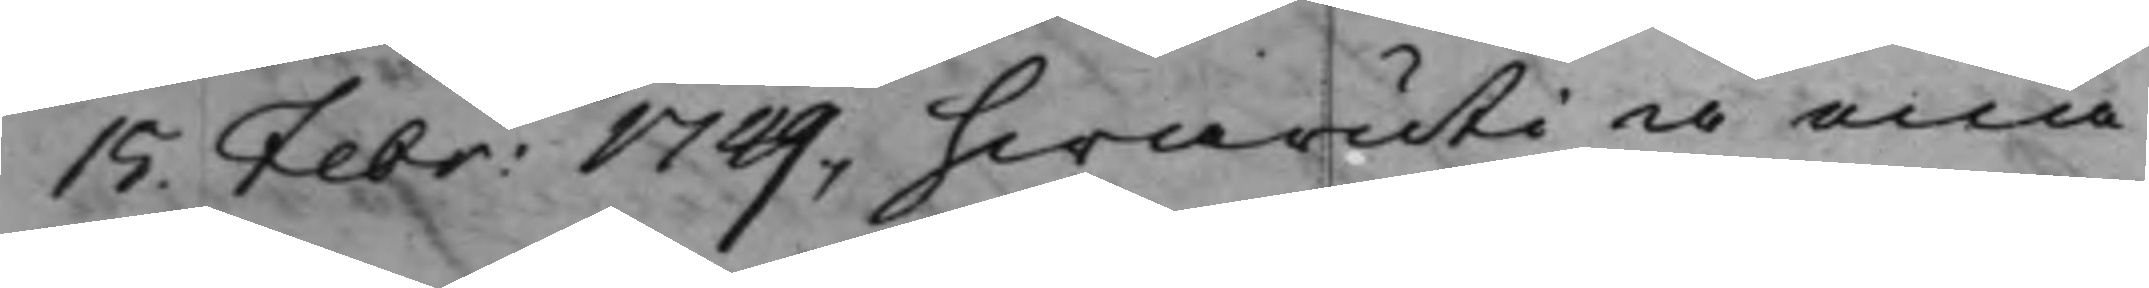15. Febr: 1749, hwaruti å ena
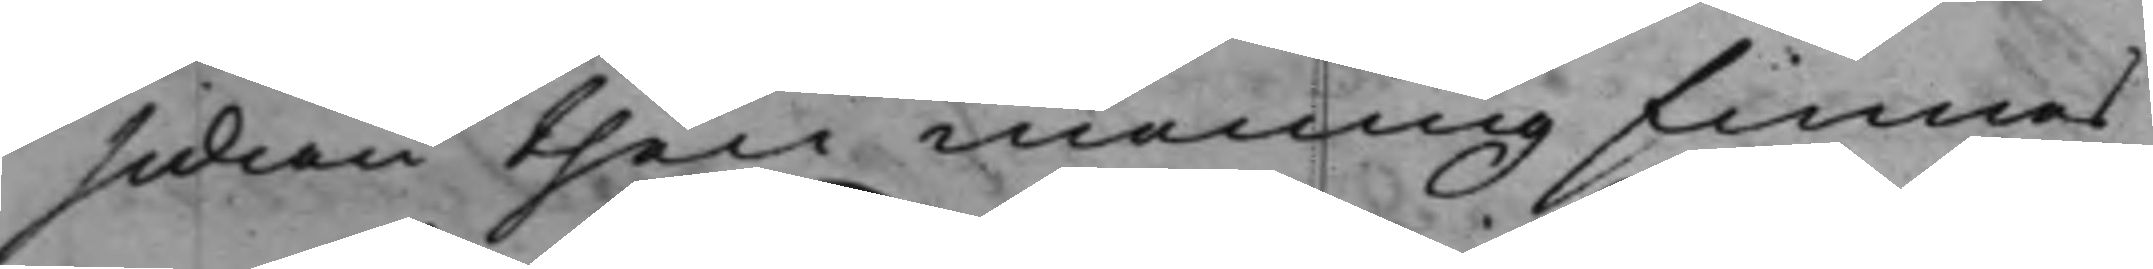sidan then mening finnes
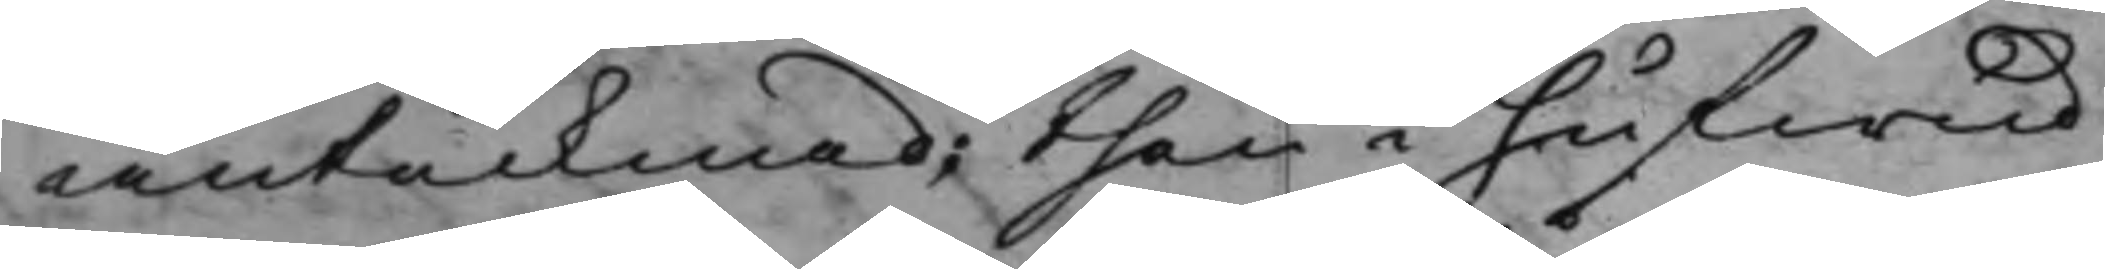antecknad; then i hufwud
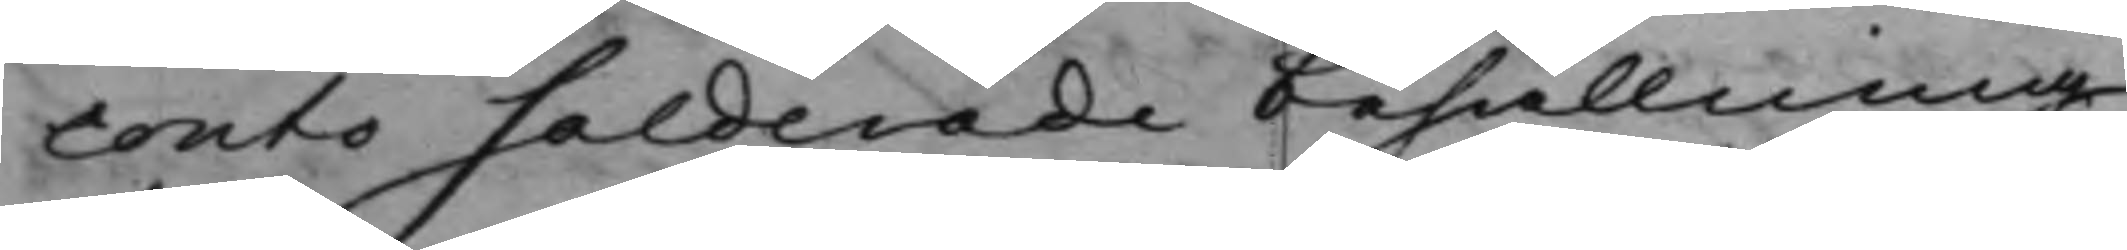conto salderade behållning
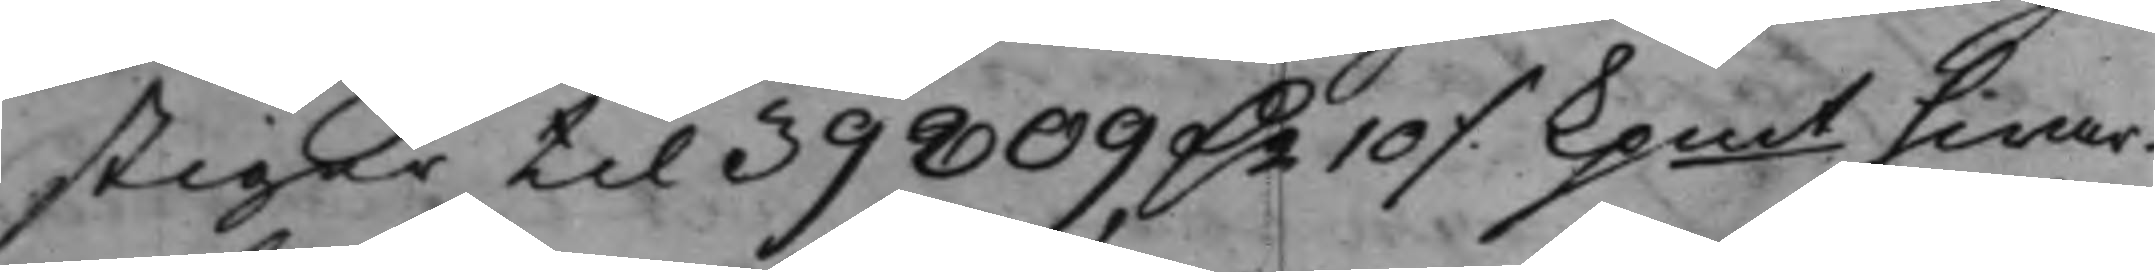stiger til 39809 D.r 10 ./. Kpmt hwar¬
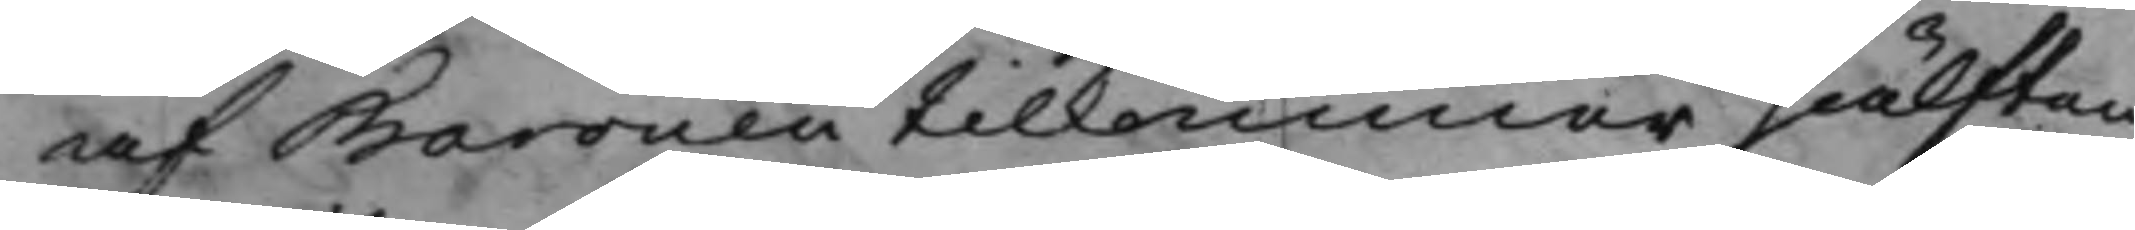af Baronen tilkommer hälften
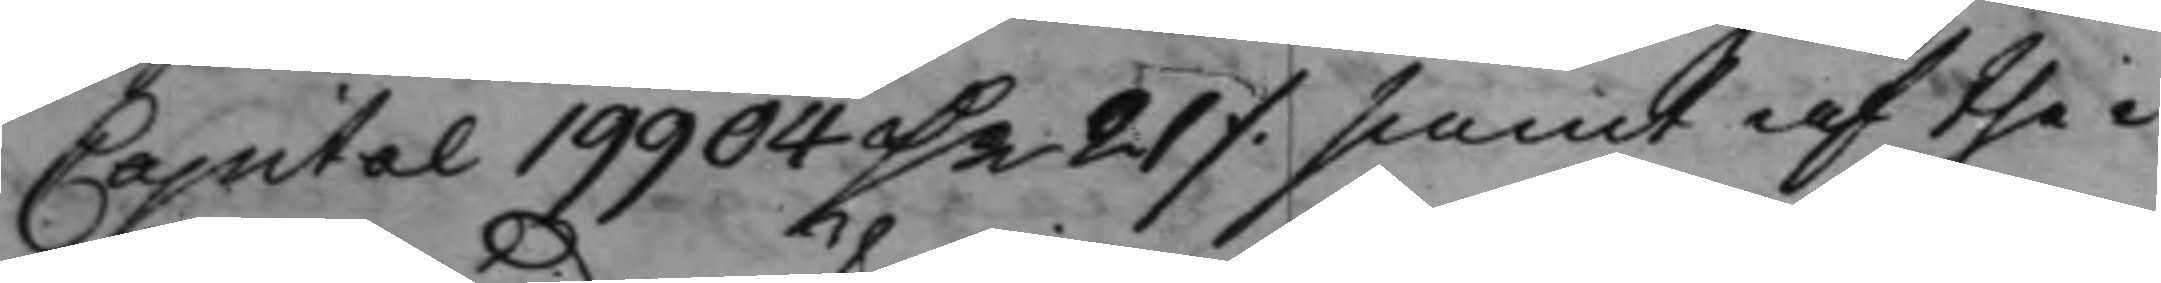Capital 19904 D.r 21 ./. samt af the i
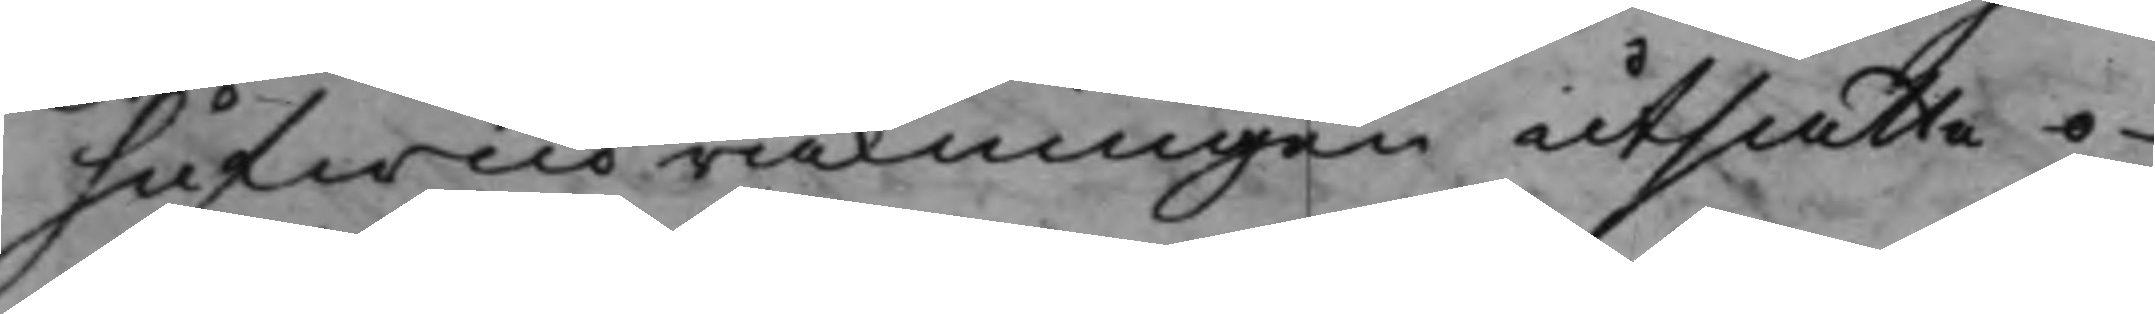hufwudräkningen utsatte o¬
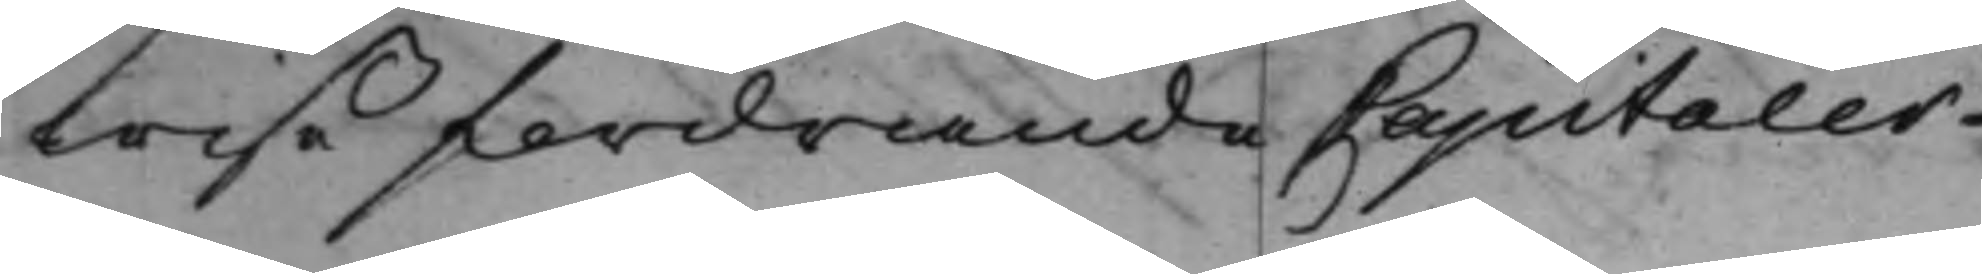wiße fordrande Capitaler
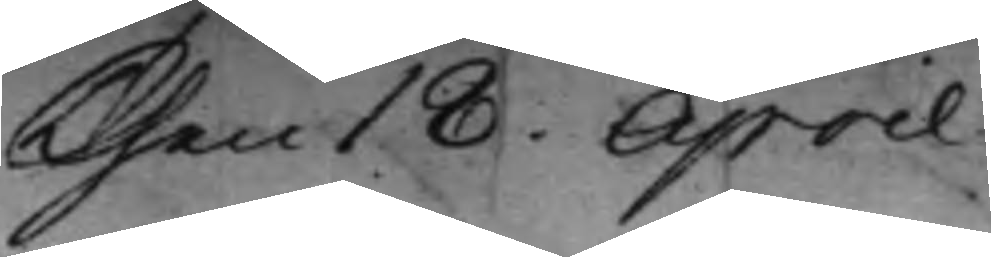Then 18 April
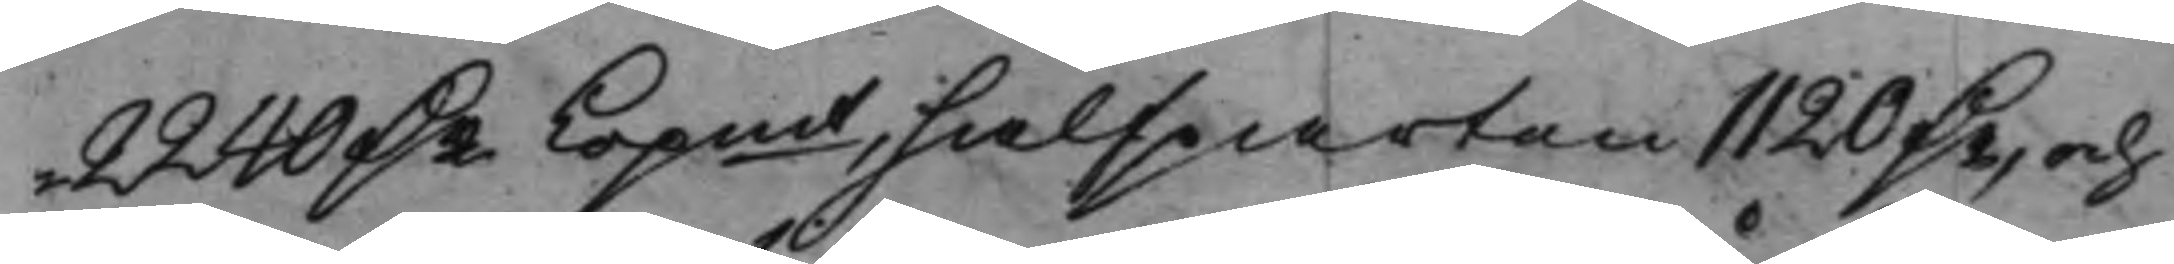2240 D.r Kopmt, halfparten 1120 D.r, och
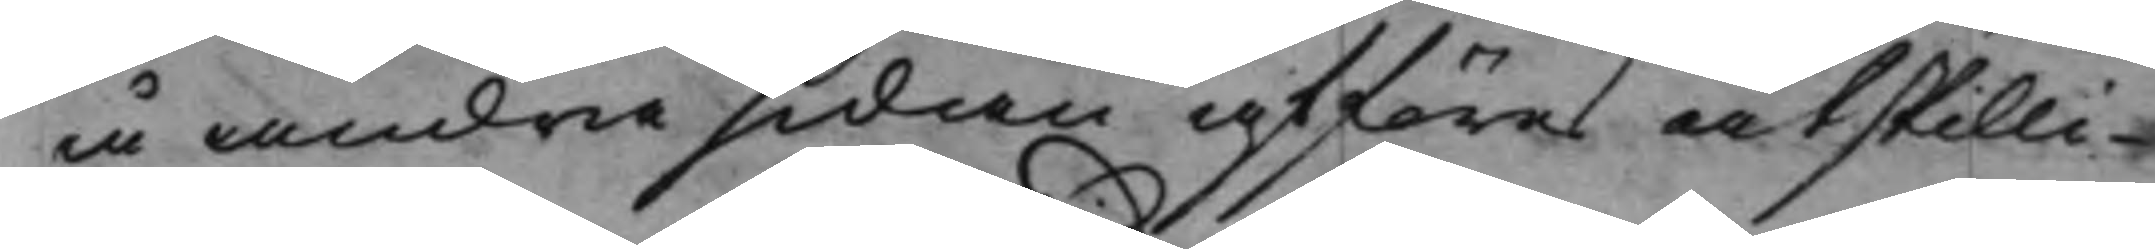å andra sidan afföres åtskilli¬
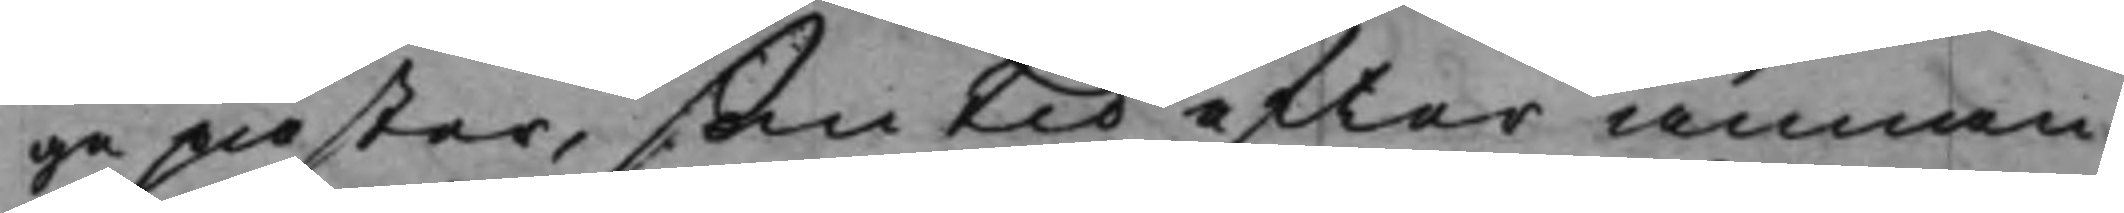ge påster, som tid efter annan
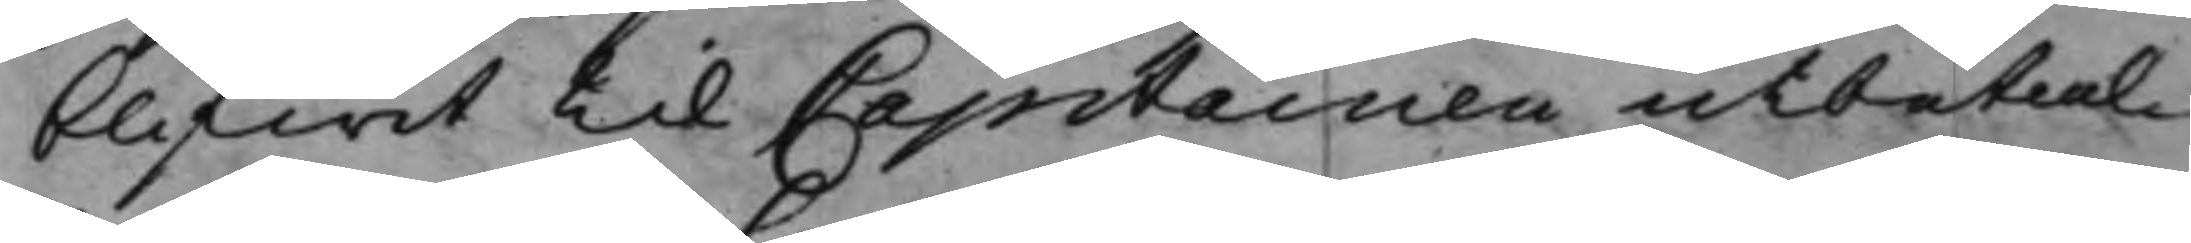blifwit til Capitainen utbetal¬
